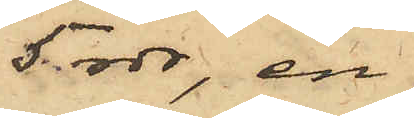5 rdr, en
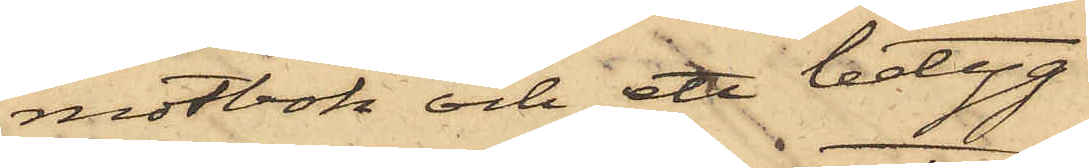motbok och ett betyg
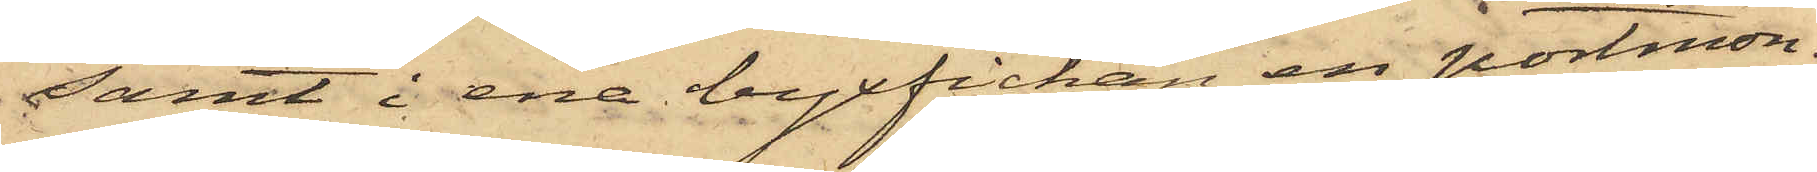samt i ena byxfickan en portmon¬
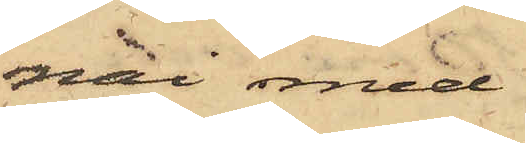nai med
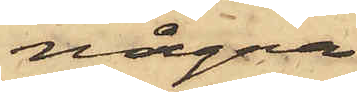några
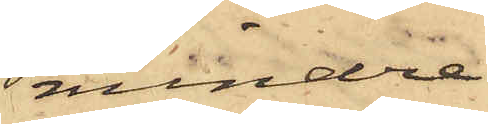mindre
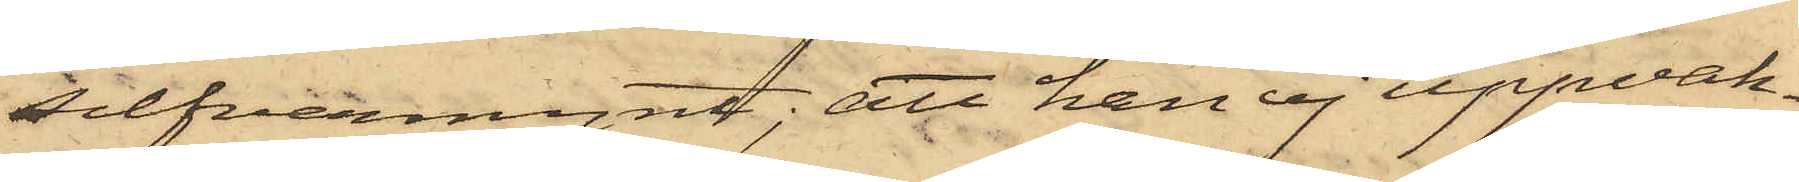silfvermynt; att han ej uppvak¬
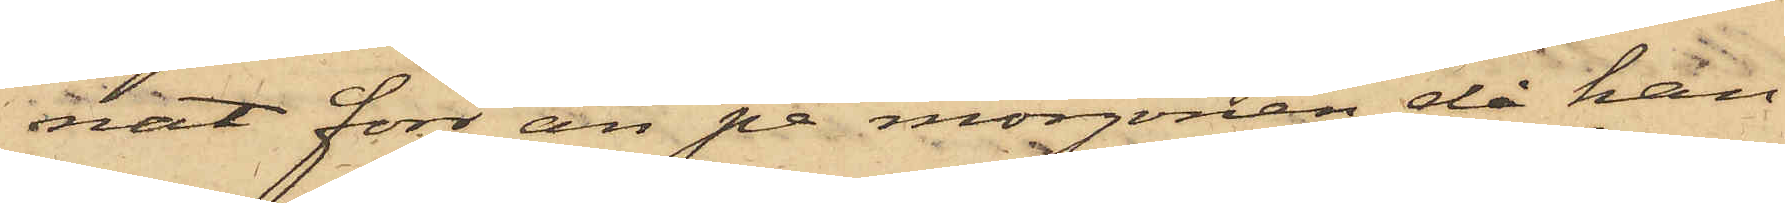nat förr än på morgonen, då han
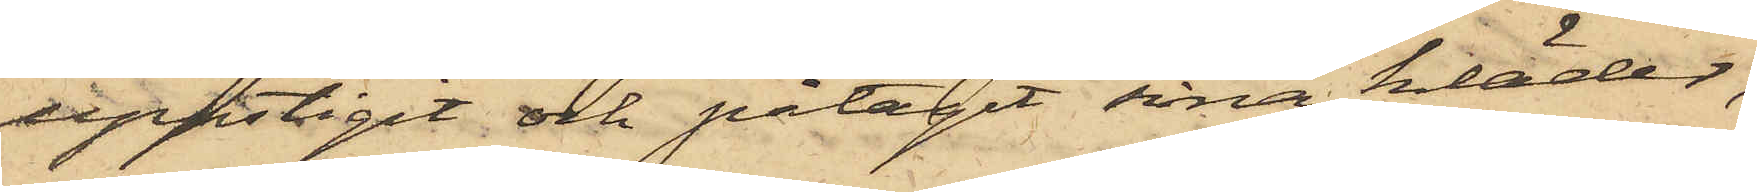uppstigit och påtagit sina kläder,
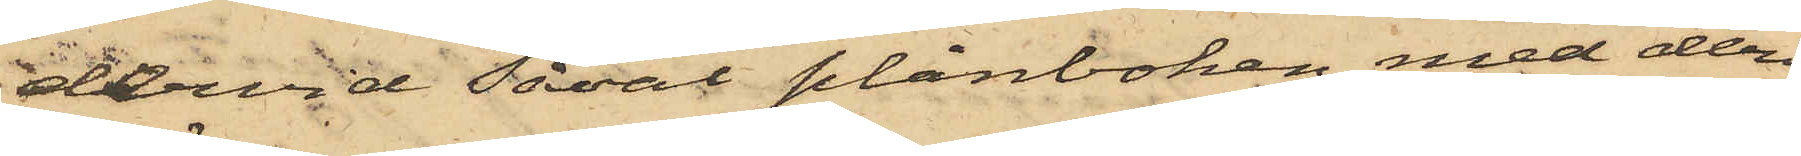dervid såväl plånboken med deri
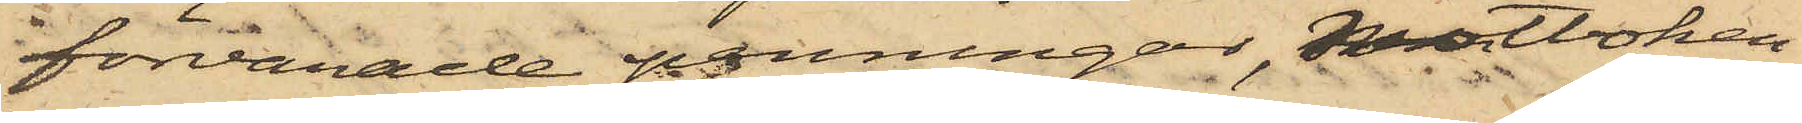förvarade penningar, motboken
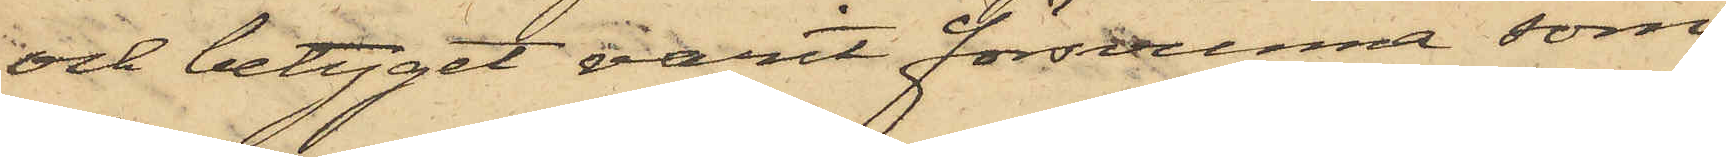och betyget varit försvunna som
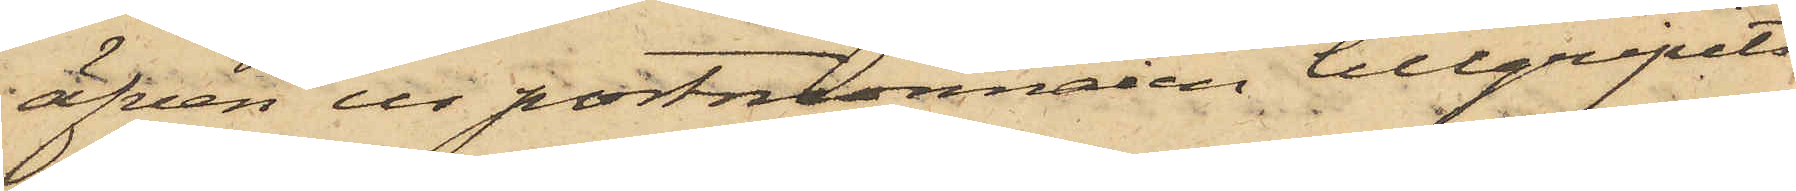äfven ur portmonnaien tillgripits
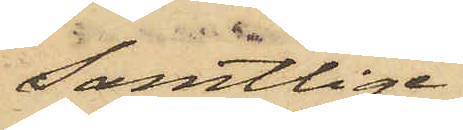Samtlige
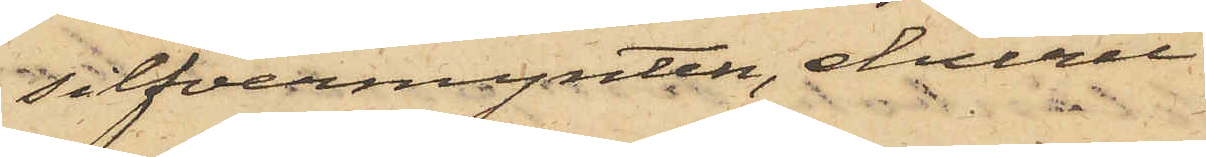silfvermynten, ehuru
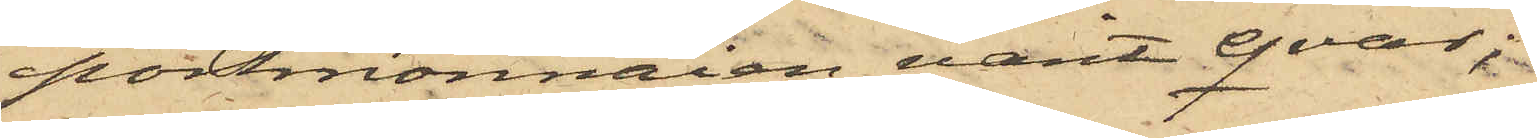portmonnaien varit qvar;
